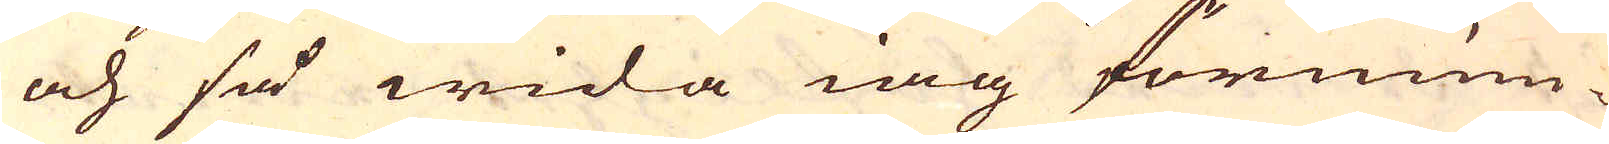och så wida iag förnum-
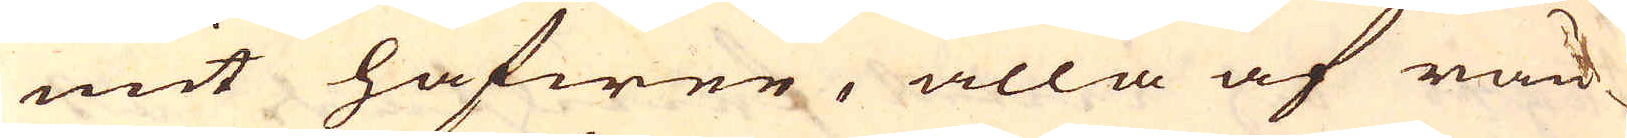mit hafwer, alla af rän-
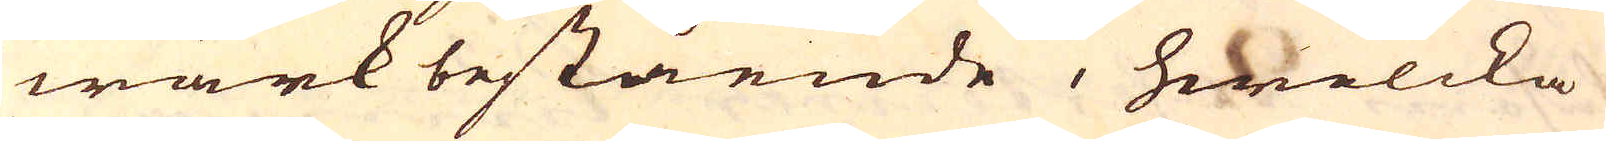wärk bestående, hwilcka
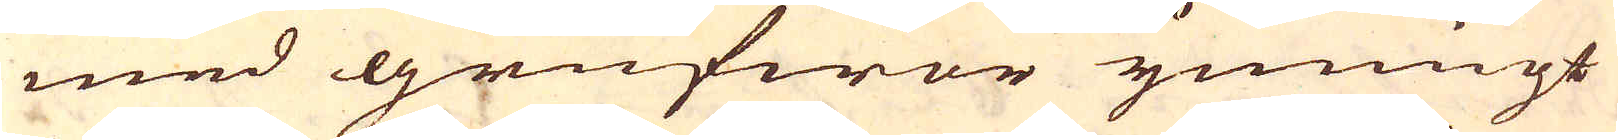med grufwor ymnigt
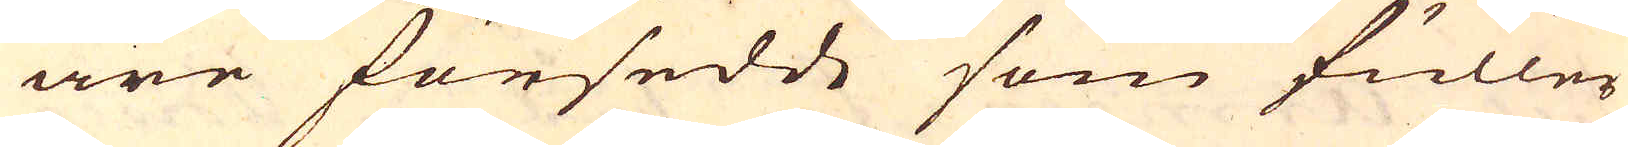äre försedde som fuller
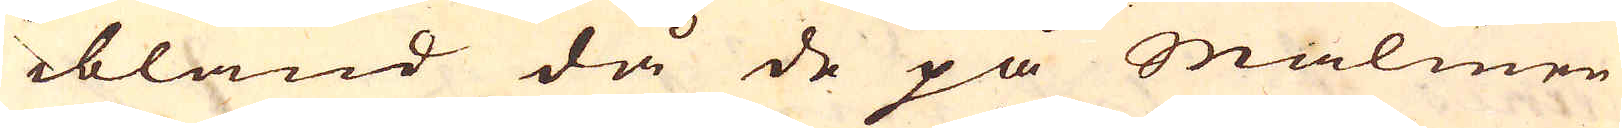ibland då de på Malmen
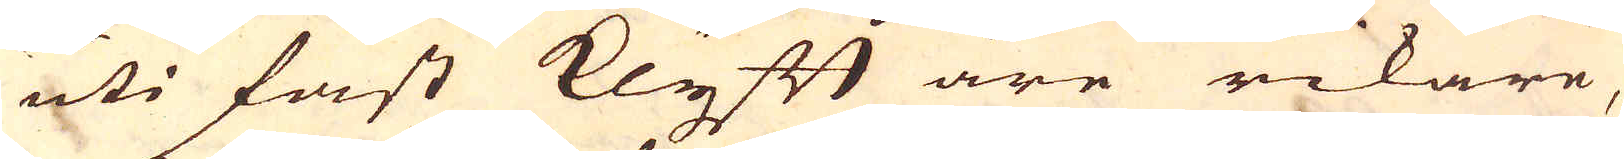uti fast Klyft äre rikare,
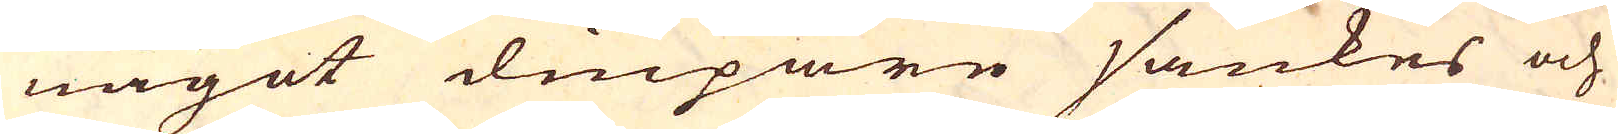något diupare sänkes och
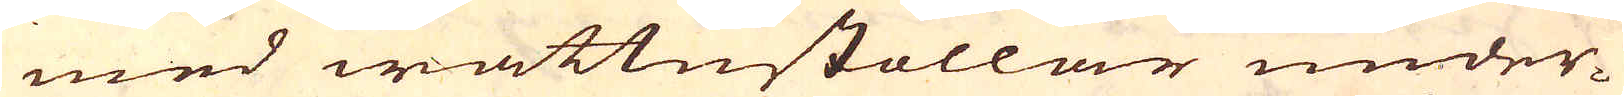med wattustollar under-
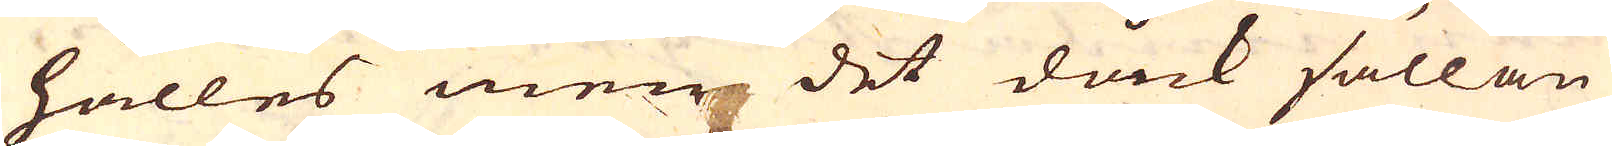hålles men det dåck sällan
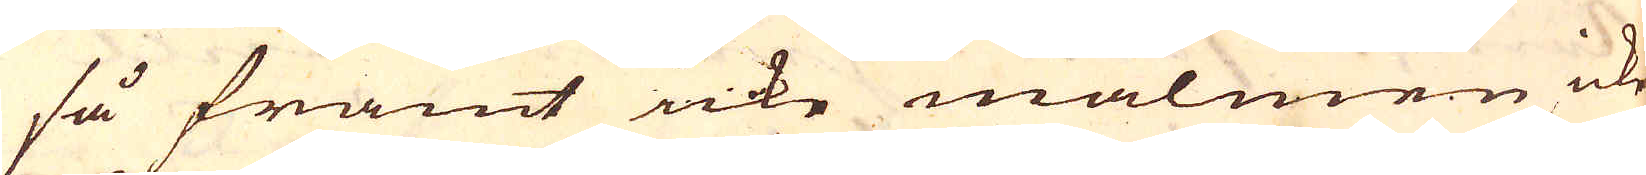så framt icke malmen icke
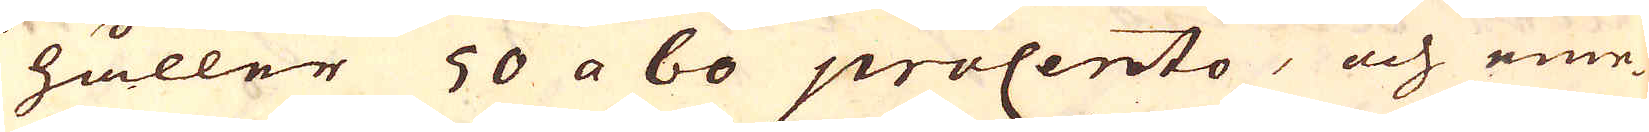håller 50 a 60 procento, och eme-
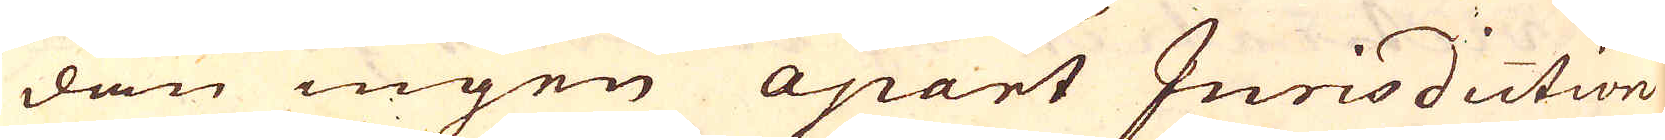dan ingen apart Jurisdiction
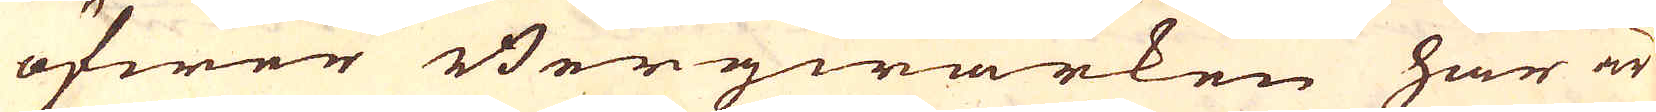öfwer Bergwärken här är
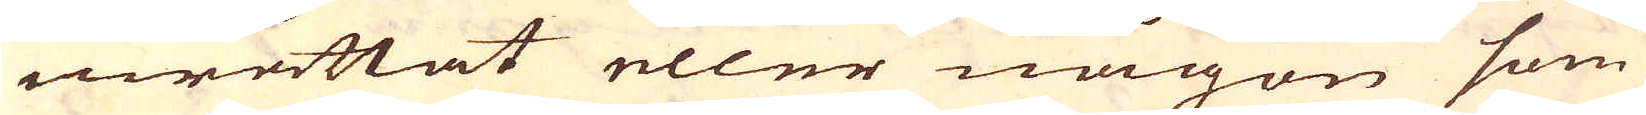inrättat eller någon som
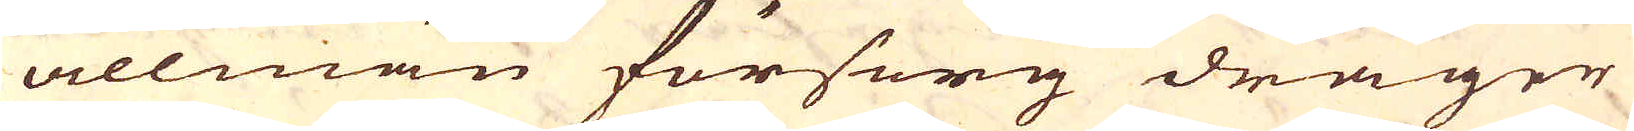allmän försorg drager
